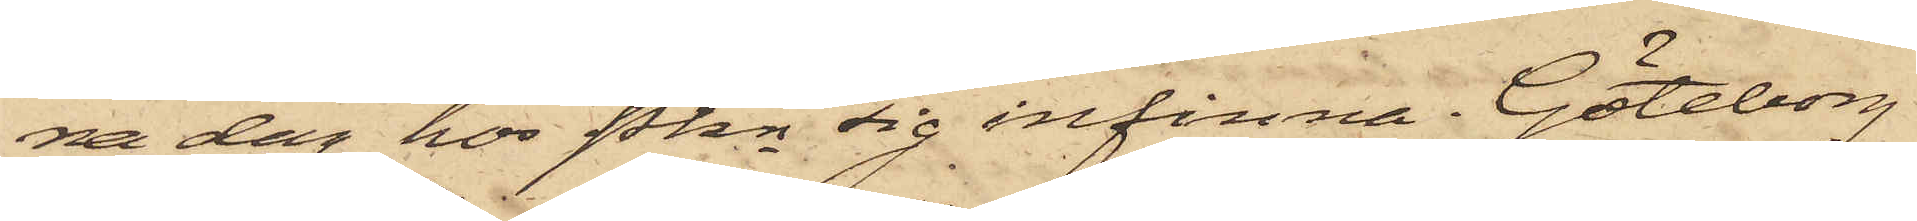na dag hos Pkn sig infinna. Göteborg
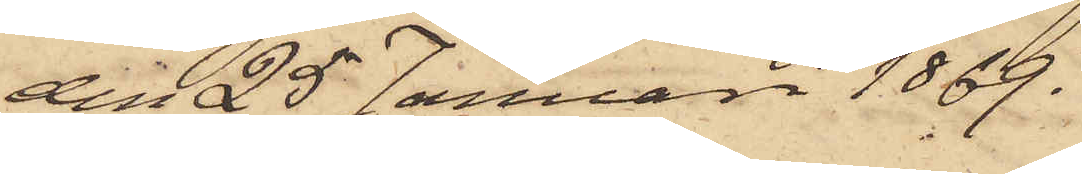den 25 Januari 1869.
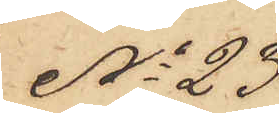No 23
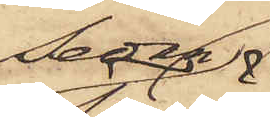Sedan
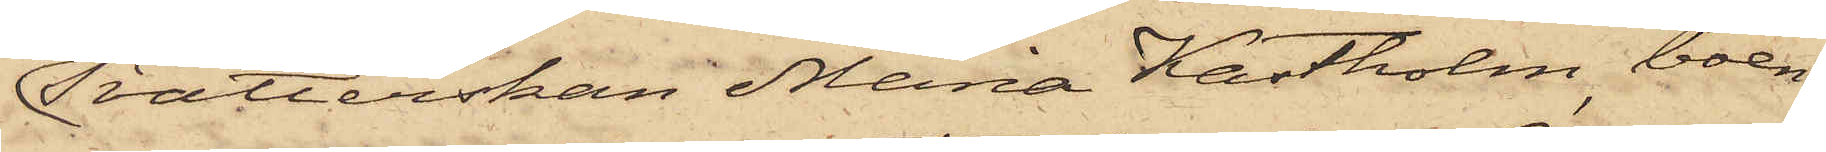Tvätterskan Maria Kastholm, boen¬
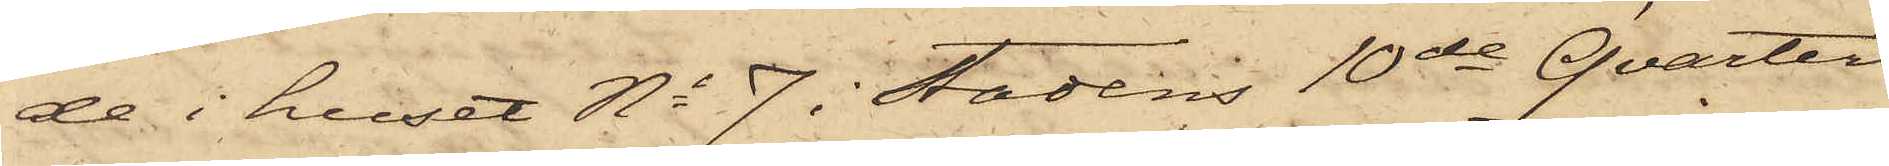de i huset No 7 i Stadens 10de Qvarter
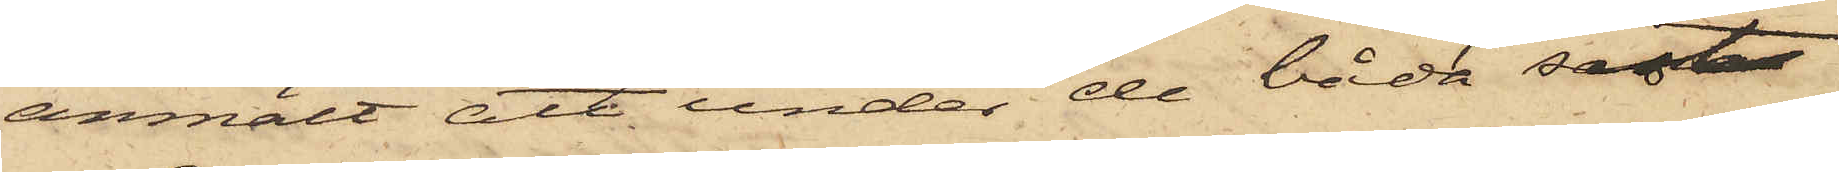anmält att under de båda sist
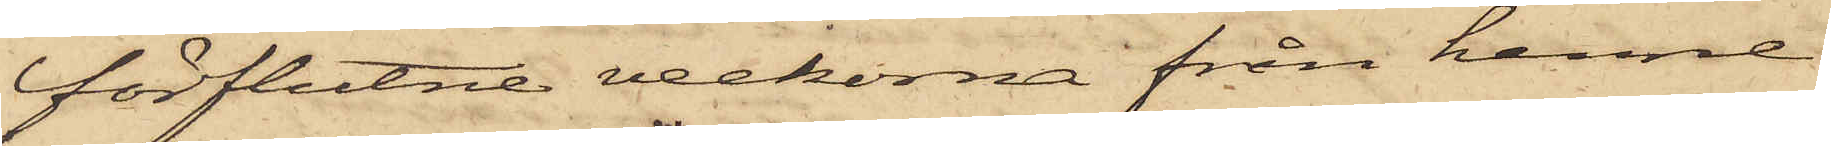förflutne veckorna från henne
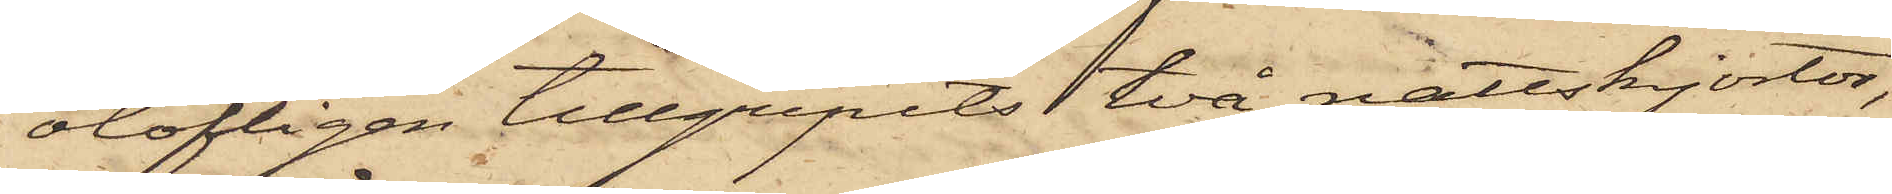olofligen tillgripits två nattskjortor,
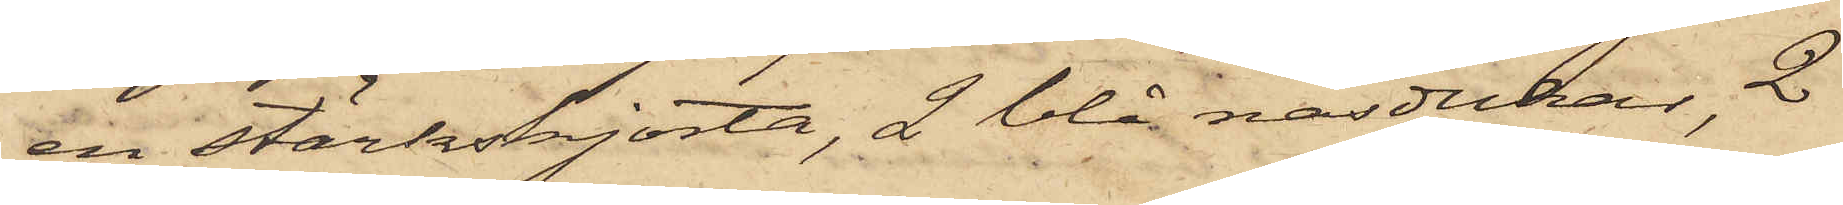en stärkskjorta, 2 blå näsdukar, 2
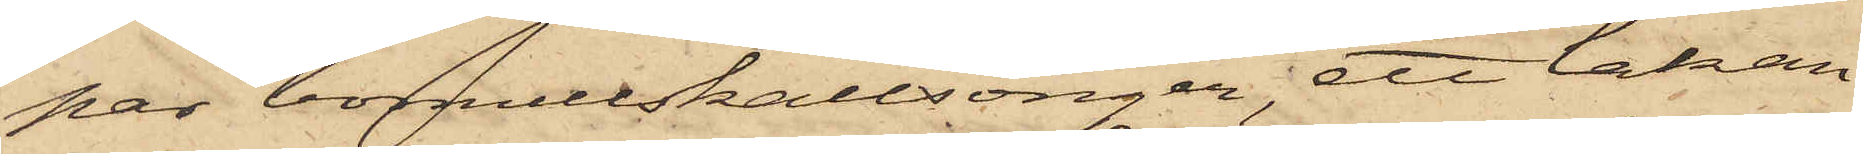par bomullskallsonger, ett lakan
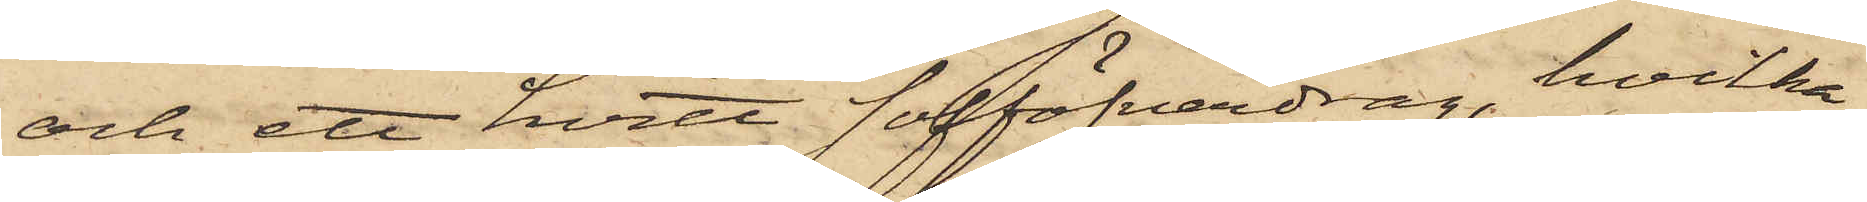och ett hvitt sofföfverdrag, hvilka
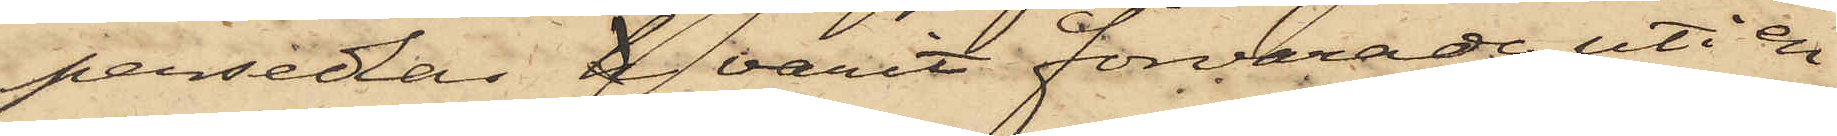persedar h varit förvarade uti en
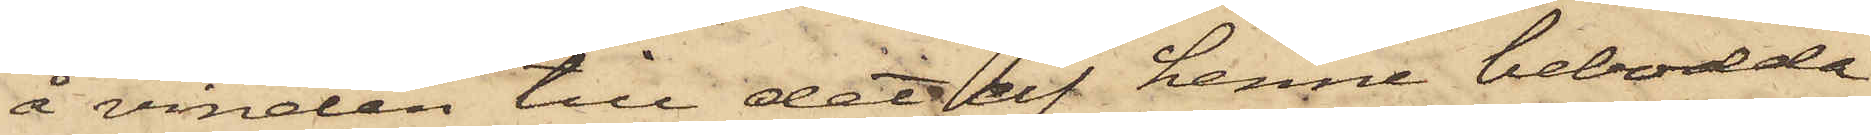å vinden till det af henne bebodde
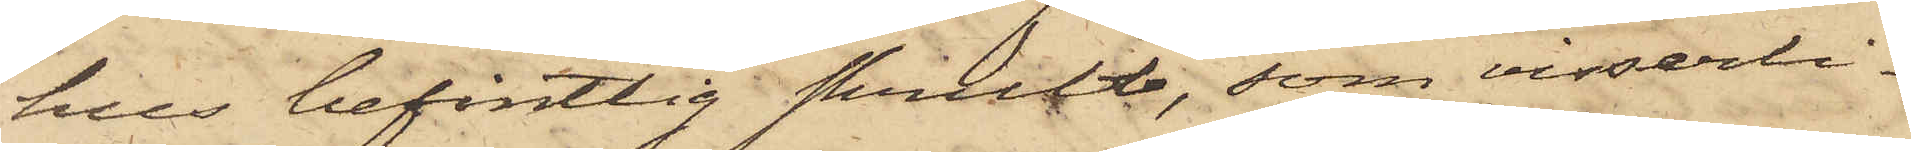hus befintlig skrubb, som visserli¬
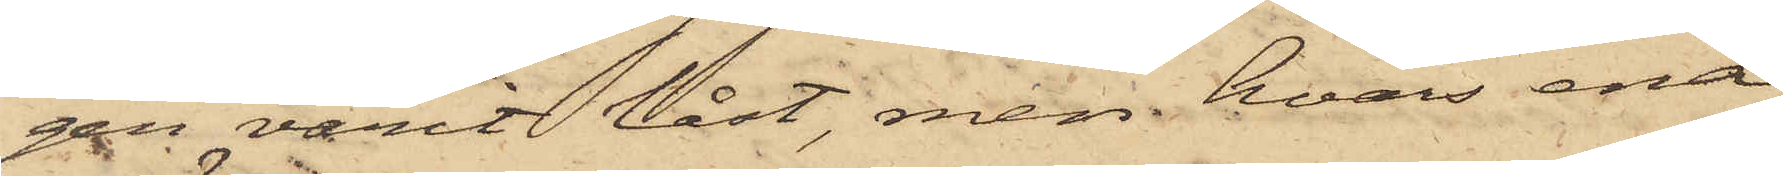gen varit låst, men hvars ena
